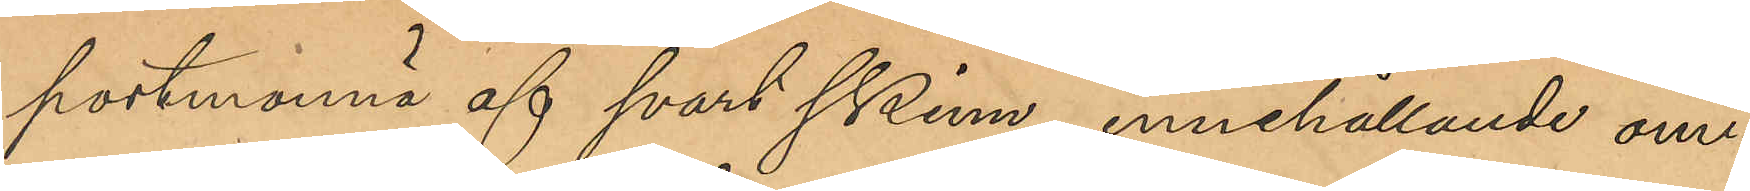portmonnä af svart skinn, innehållande om¬
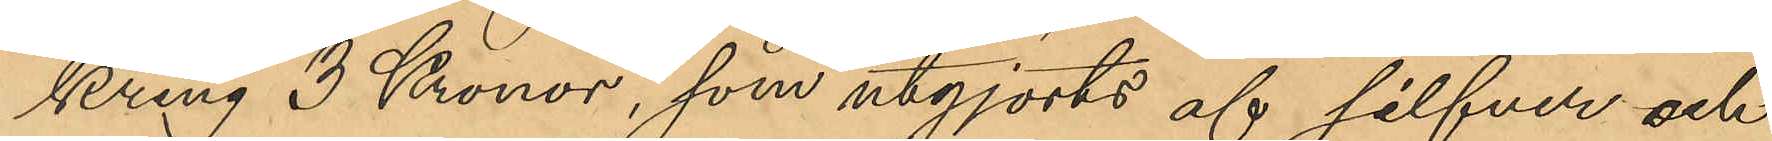kring 3 Kronor, som utgjorts af silfver och
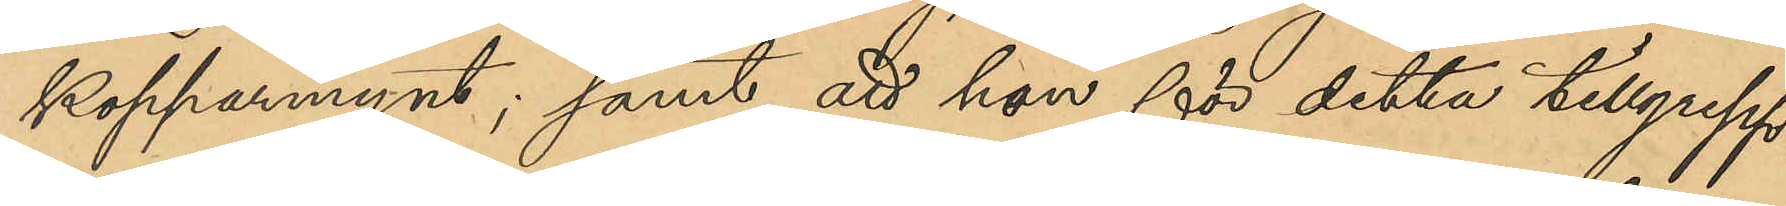kopparmynt; samt att hon för detta tillgrepp
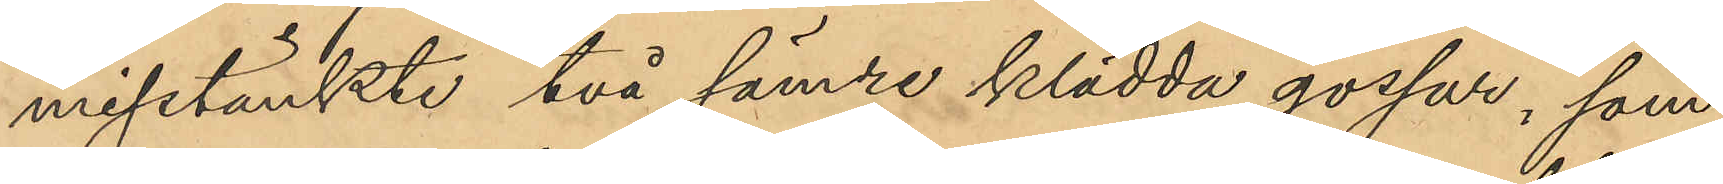misstänkte två sämre klädda gossar, som
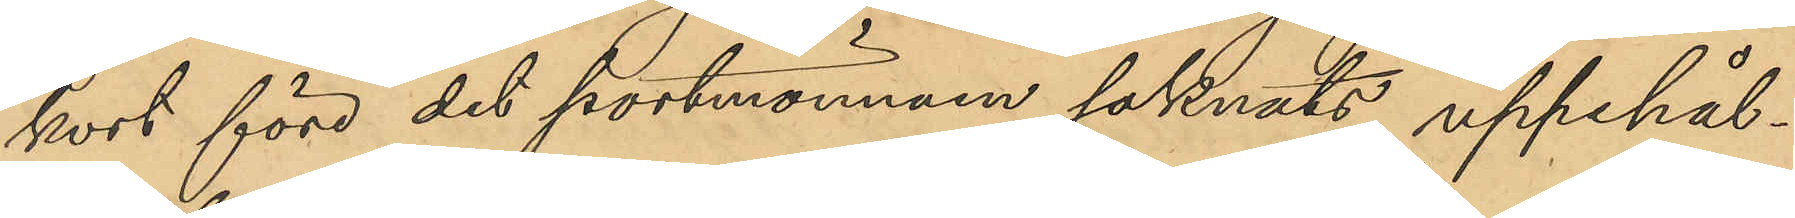kort före det portmonnän saknats uppehål¬
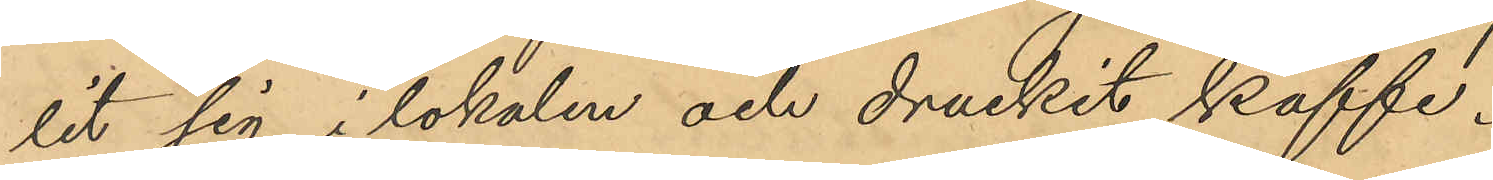lit sig i lokalen och druckit kaffe.
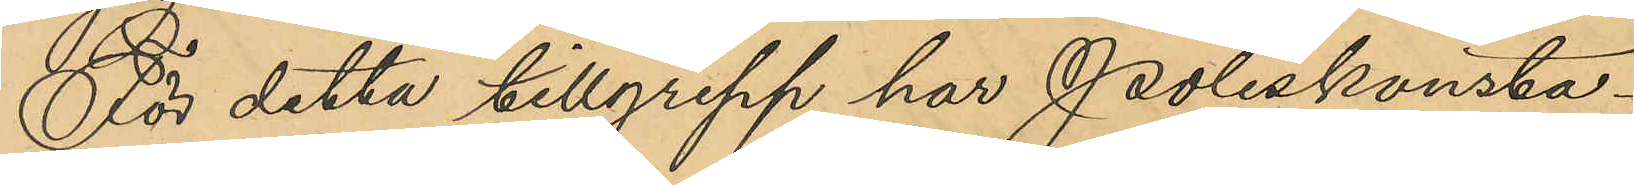För detta tillgrepp har poliskonsta¬
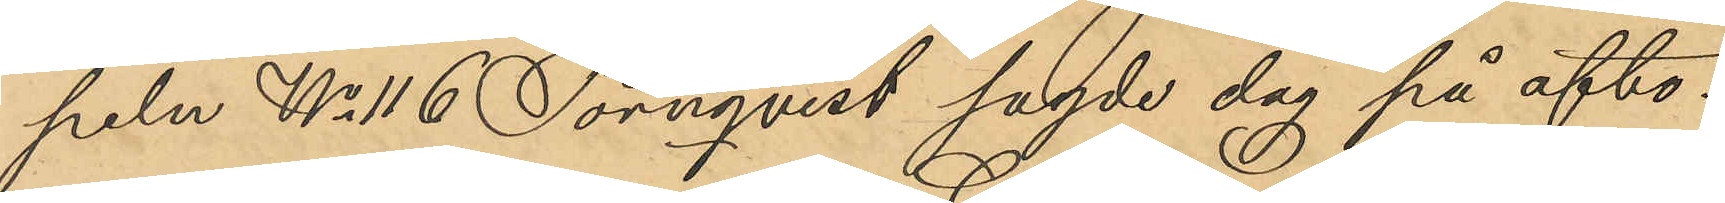peln No 116 Törnqvist sagde dag på afto¬
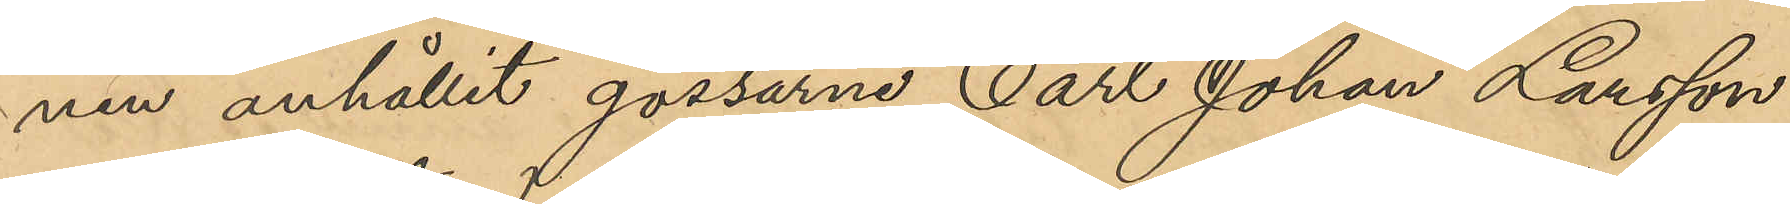nen anhållit gossarna Carl Johan Larsson
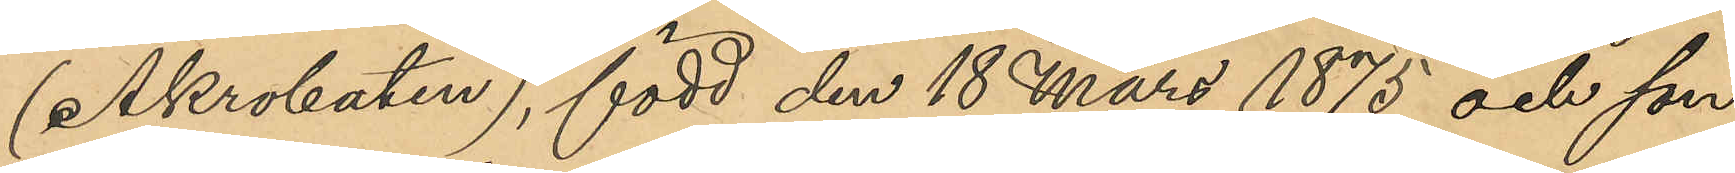(Akrobaten), född den 18 Mars 1875 och son
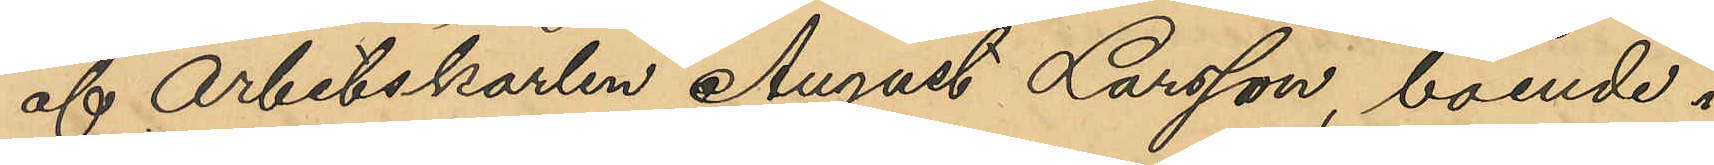af Arbetskarlen August Larsson, boende i
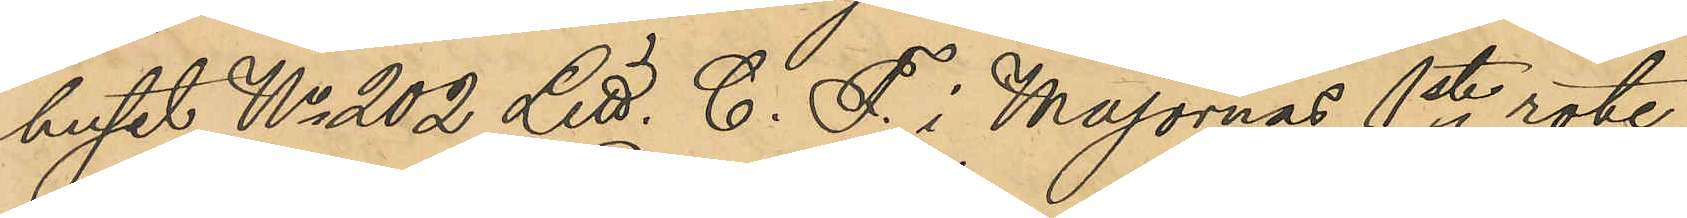huset No 202 Litt. C i Majornas 1ste rote,
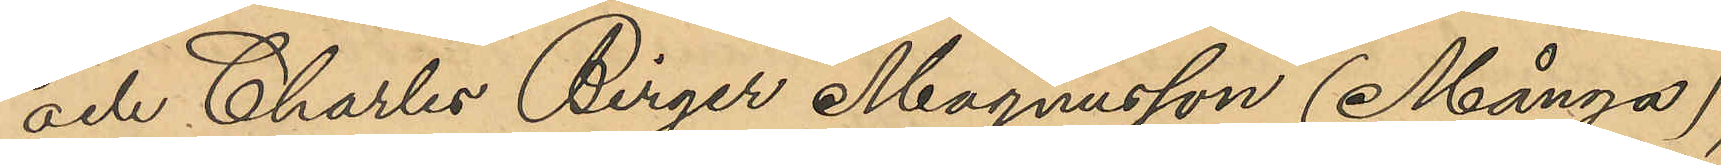och Charles Birger Magnusson (Många),
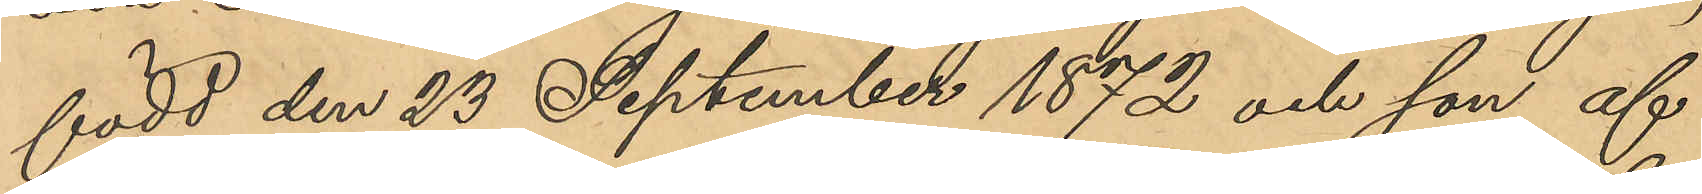född den 23 September 1872 och son af
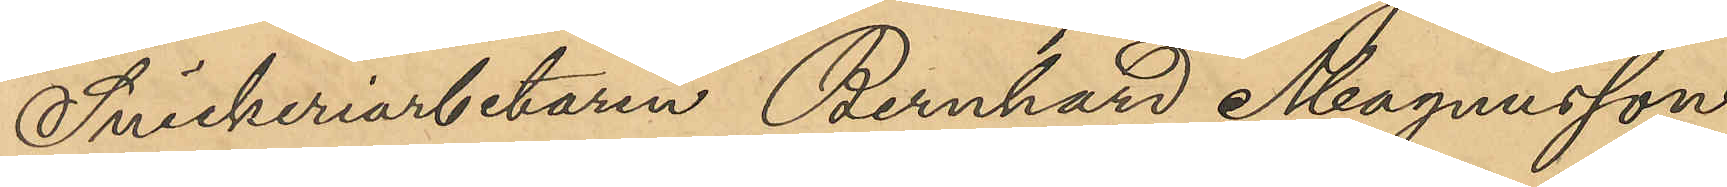Snickeriarbetaren Bernhard Magnusson
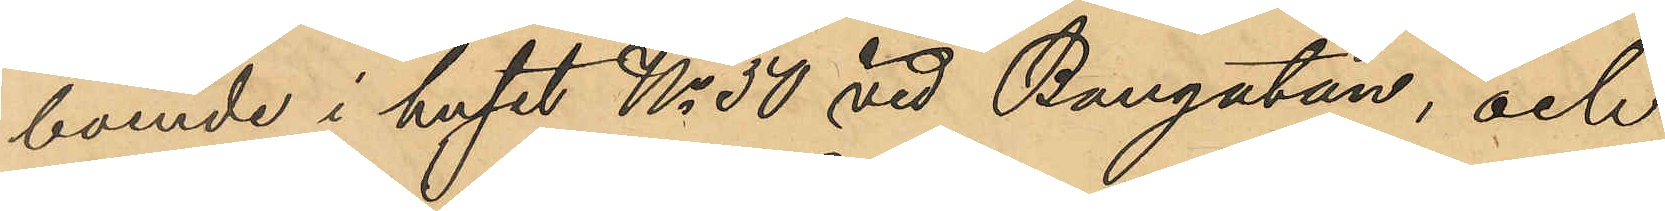boende i huset No 50 vid Bangatan, och
